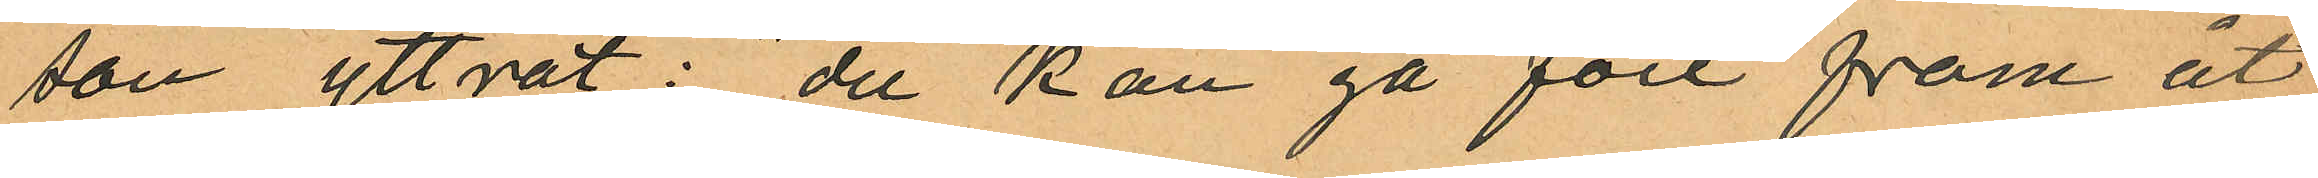son yttrat: "du kan gå före fram åt
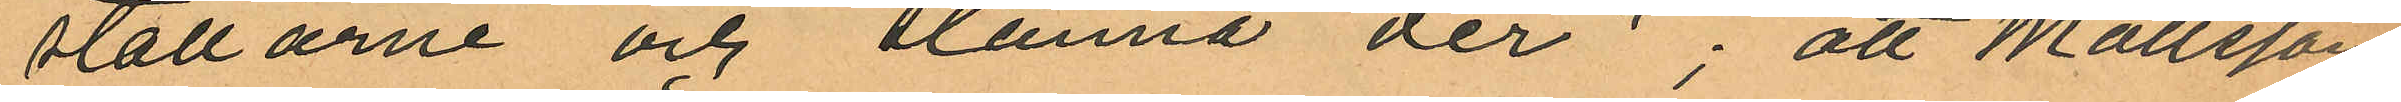stallarne och stanna der"; att Mattsson
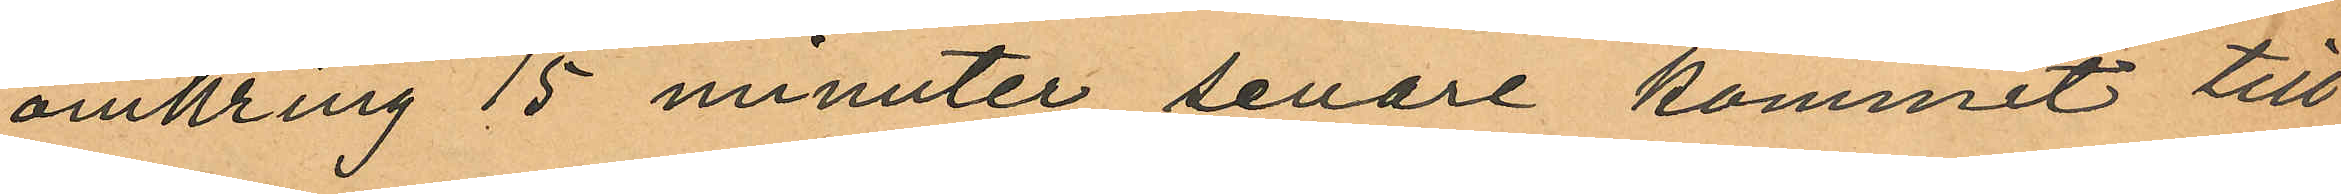omkring 15 minuter senare kommit till
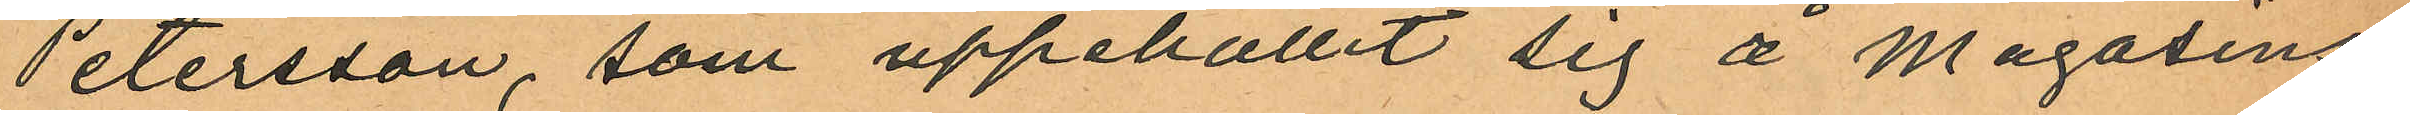Petersson, som uppehållit sig å Magasins¬
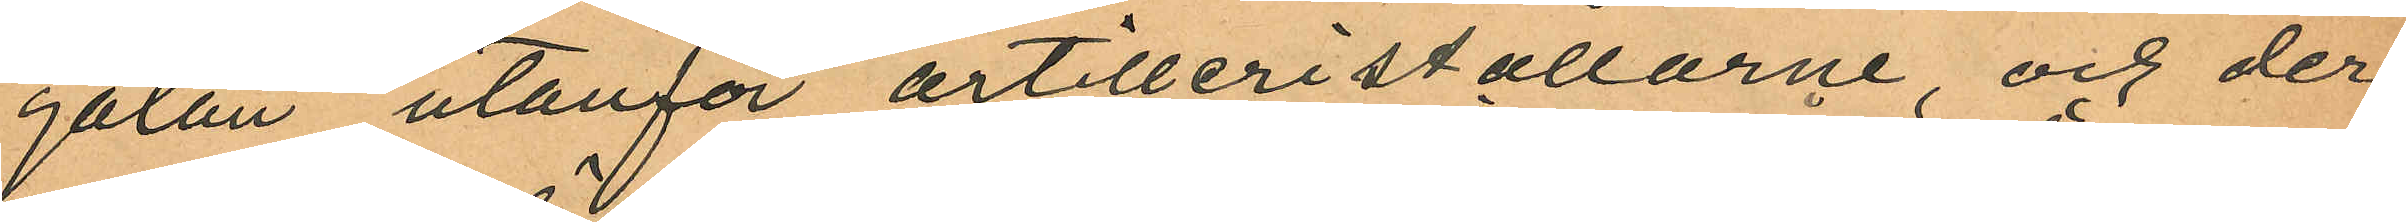gatan utanför artilleristallarne, och der
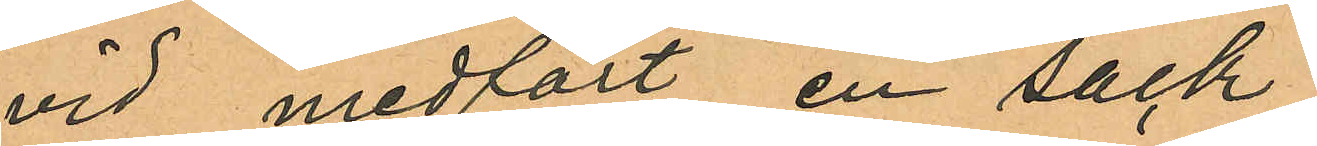vid medfört en säck
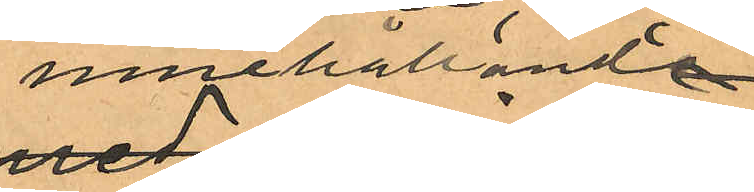innehållande
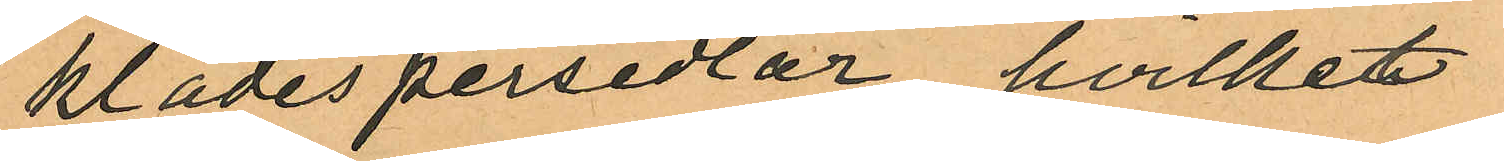klädespersedlar, hvilket
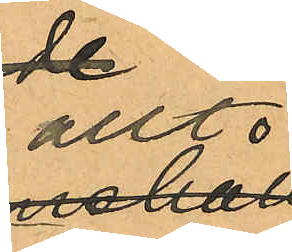allt
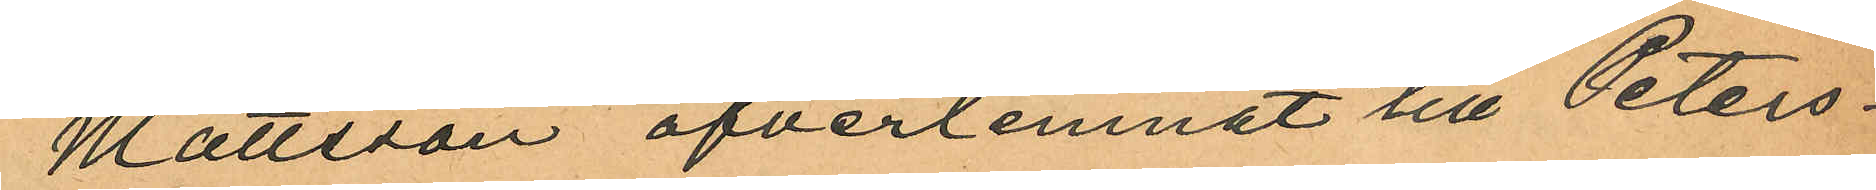Mattsson öfverlemnat till Peters¬
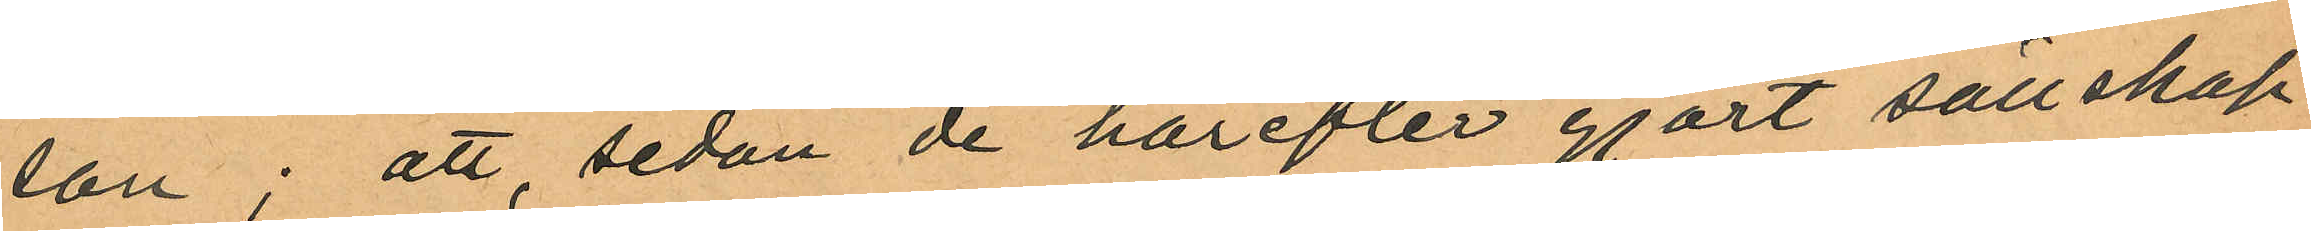son; att, sedan de härefter gjort sällskap
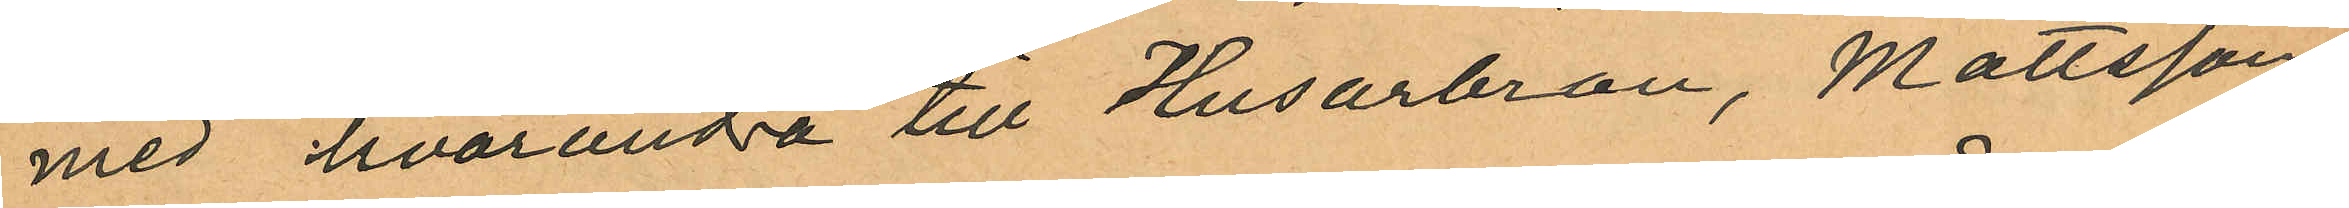med hvarandra till Husarbron, Mattsson
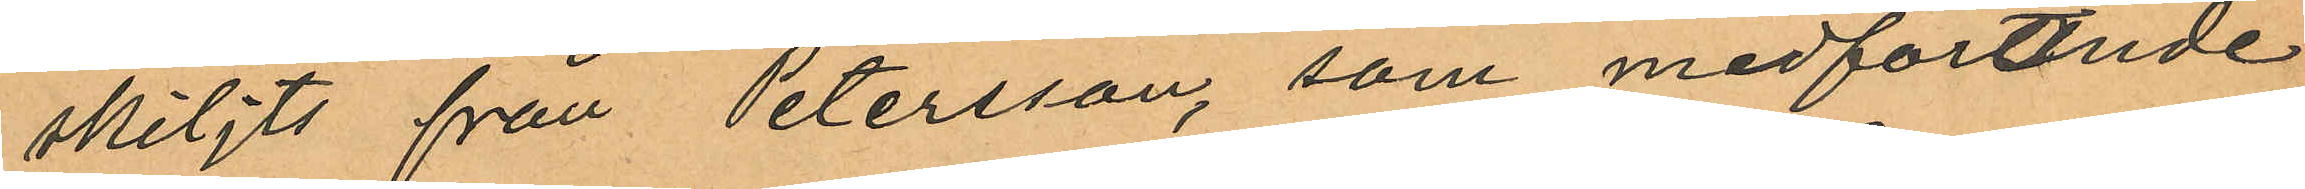skiljts från Petersson, som medförande
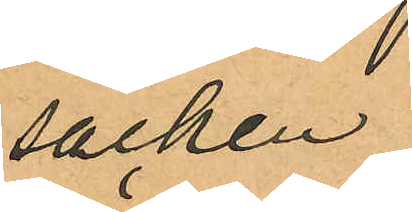säcken
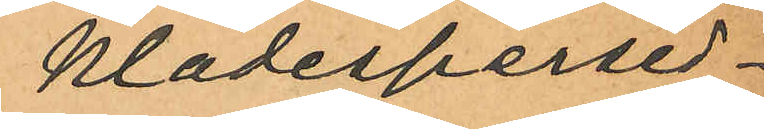klädespersed¬
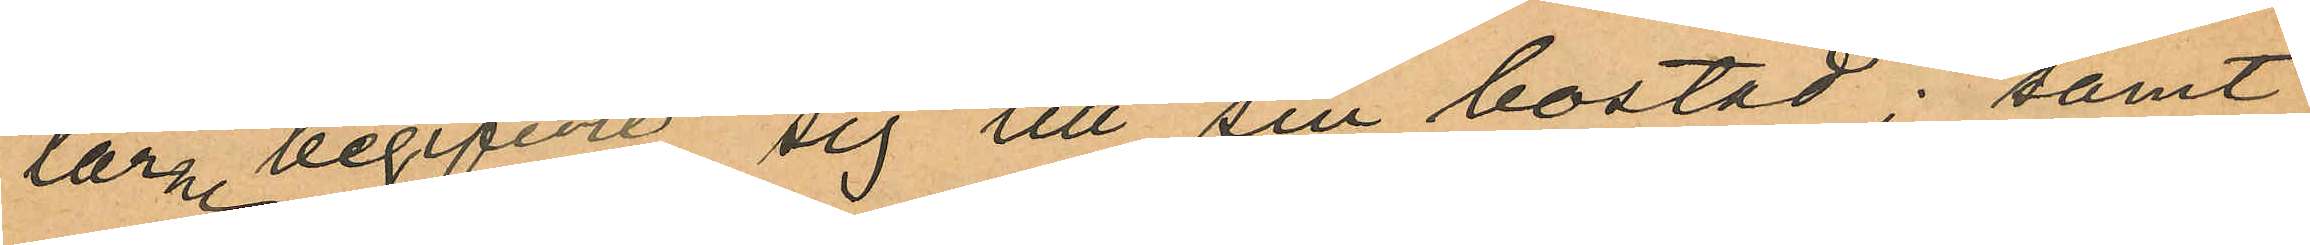larne begifvit sig tll sin bostad; samt
